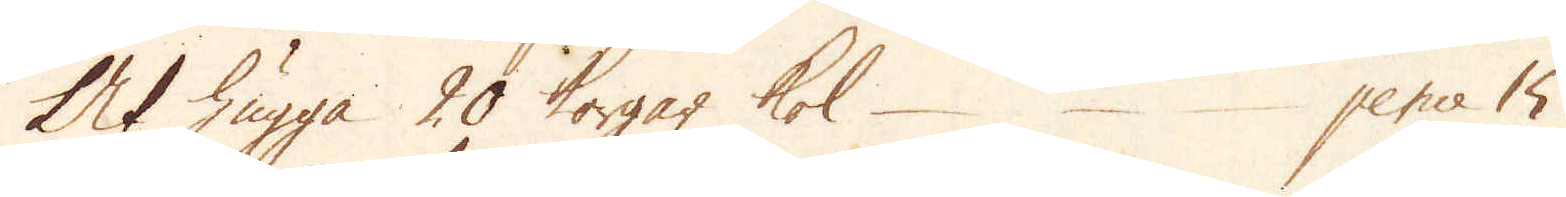At hugga 20 korgar kol pence 15
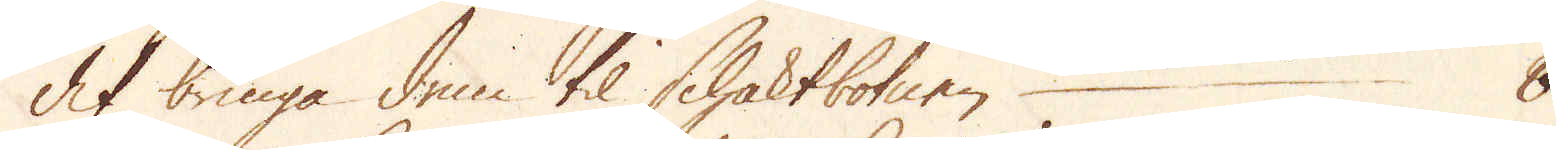At bringa dem til schaktbotnen 8
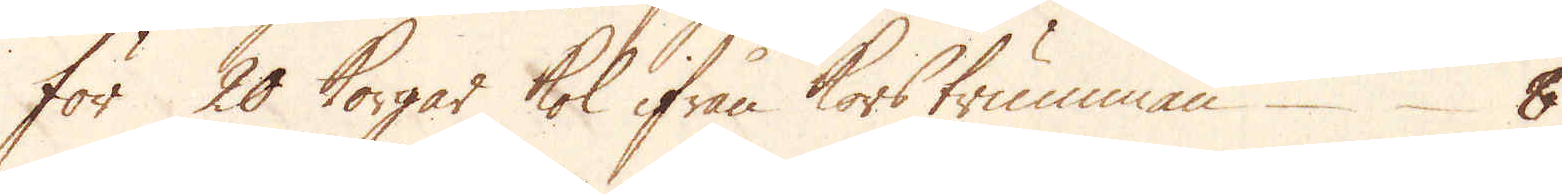För 20 korgar kol ifrån korstrumman 8
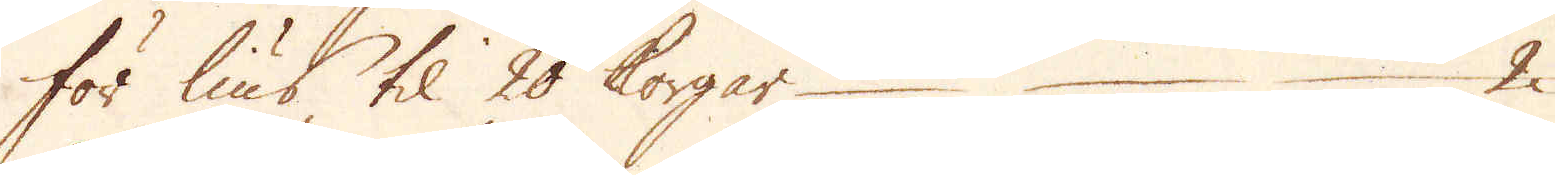För lius til 20 korgar 2
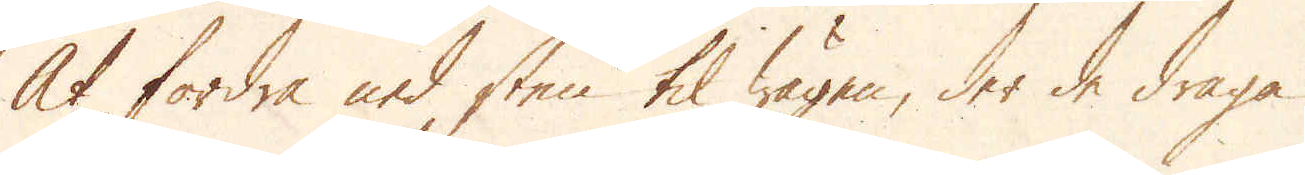At fordra ned sten til wägen, der de draga
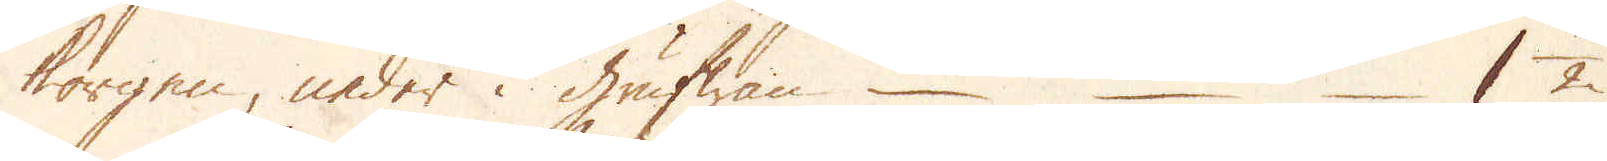korgen, neder i grufwan 1 1/2
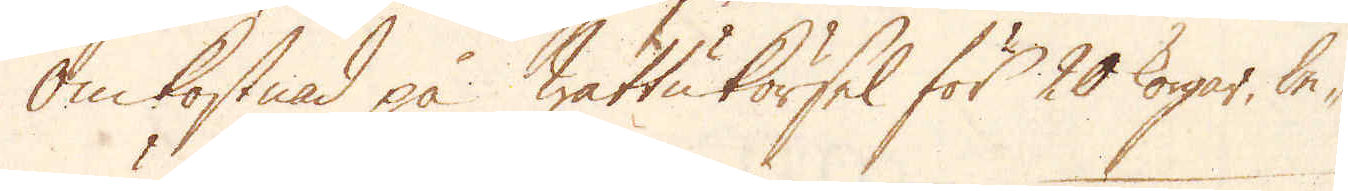Omkostnad på wattuförsel för 20 korgar, be-
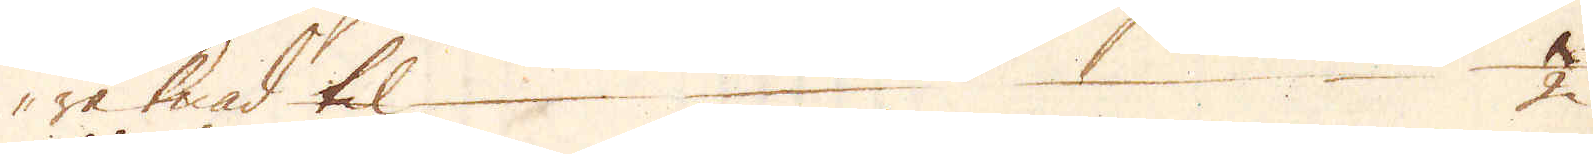räknad til 1/2
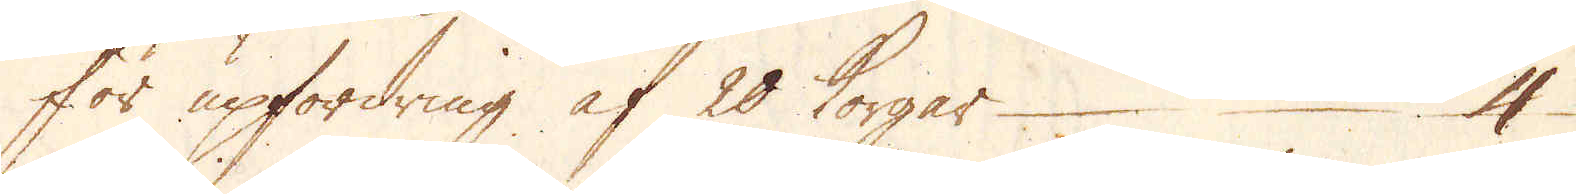För upfordring af 20 korgar 4
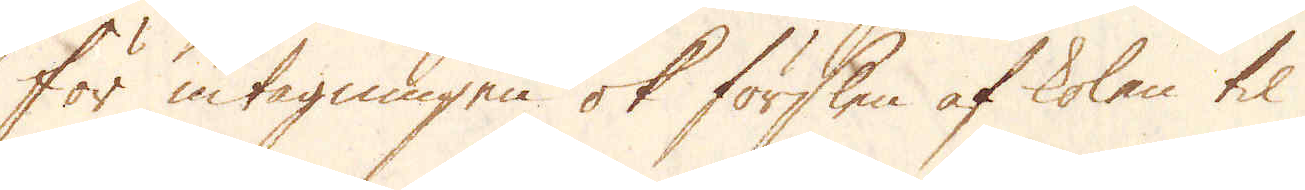För intagningen ok förslen af kolen til
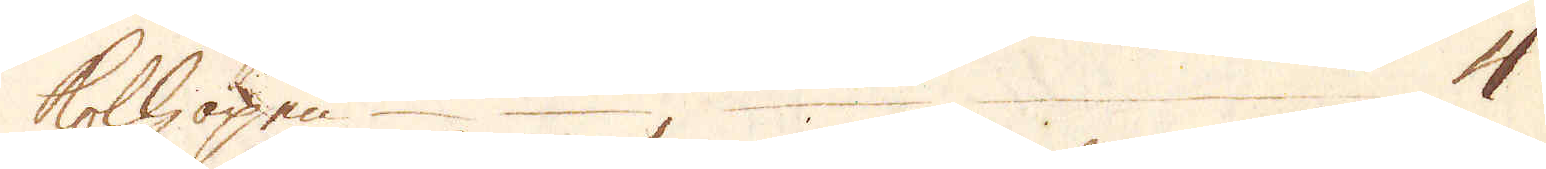kolhopen 4
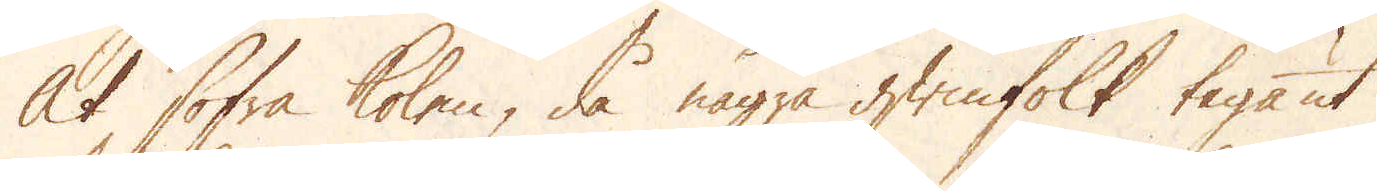At sofra kolen, då några qwinfolk taga ut
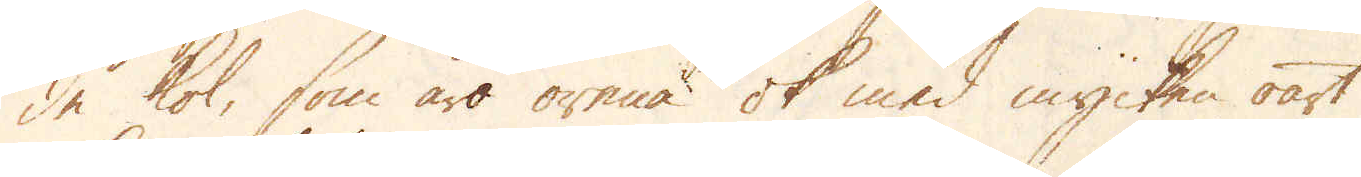de kol, som äro orena ok med mycken oart
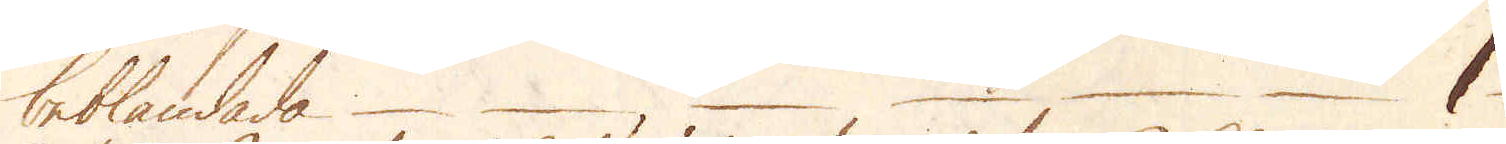beblandade 1
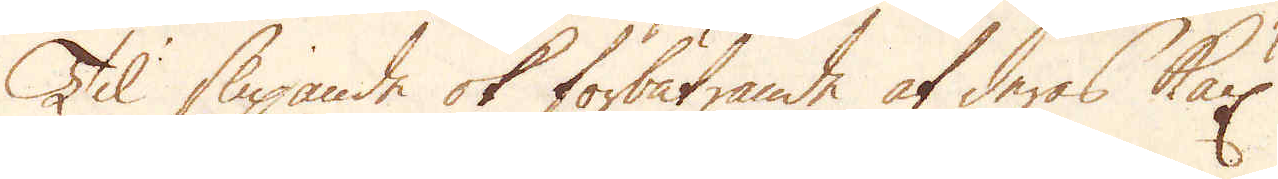Til slipande ok förbätrande af deras Käx
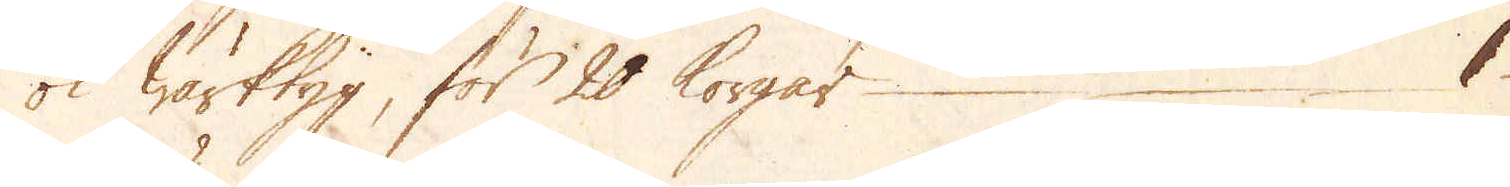ok wärktyg, för 20 korgar 1
